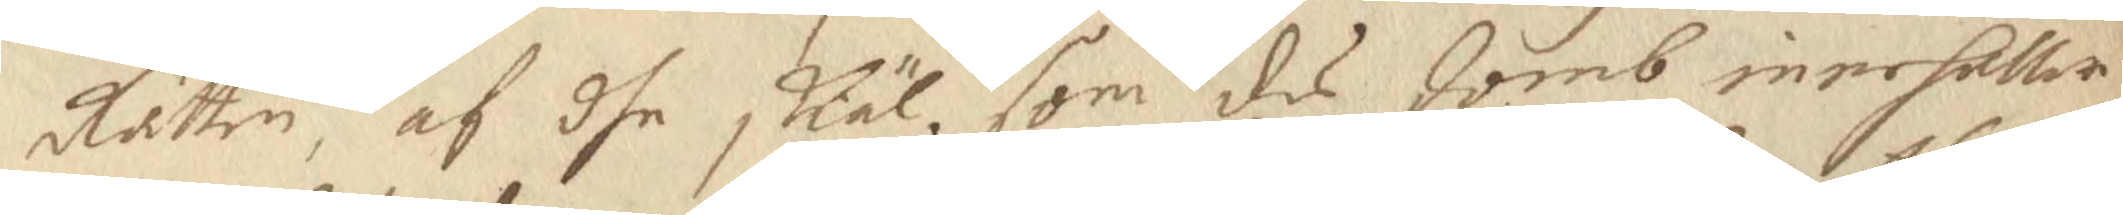Rätten, af dhe skäl som des domb innehåller
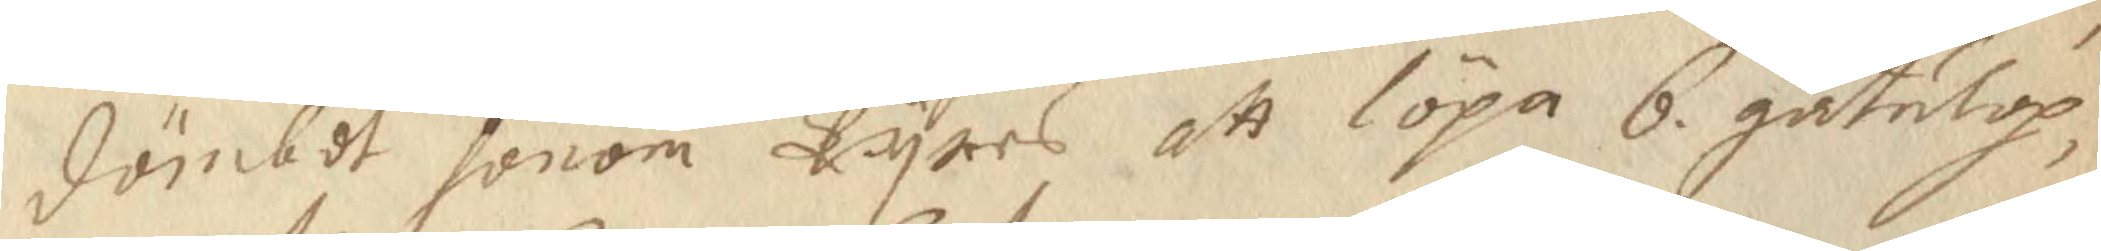dömbdt honom Tyres att löpa 6 gatulop,
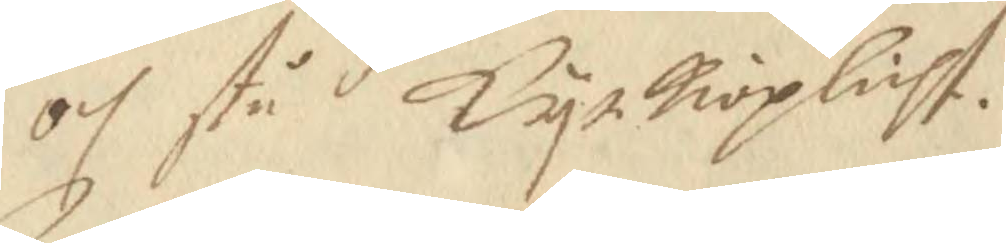och stå Kyrkioplicht.
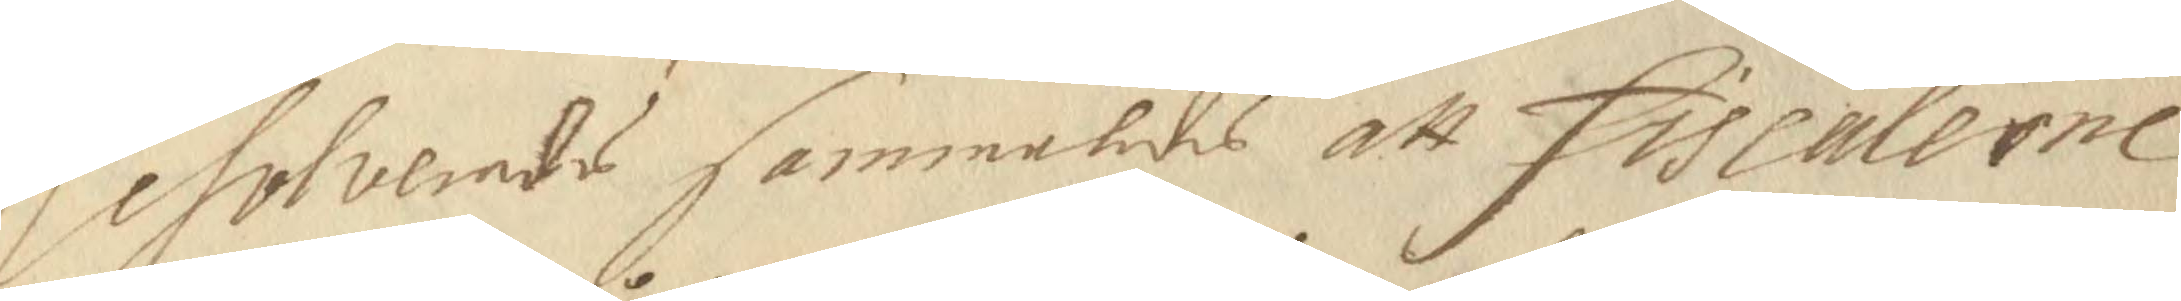Resolverades sammaledes att Fiscalerne
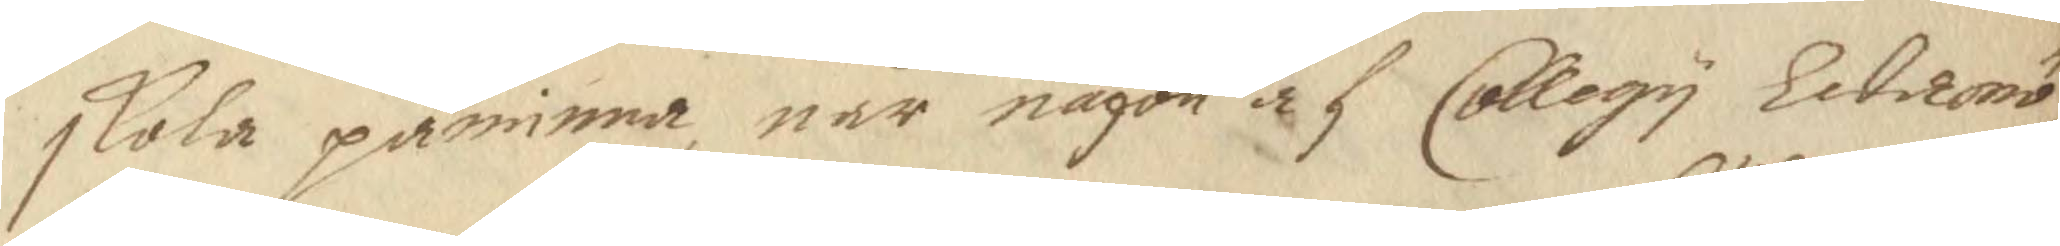skola påminna, när någon af Collegy Ledamö¬ 
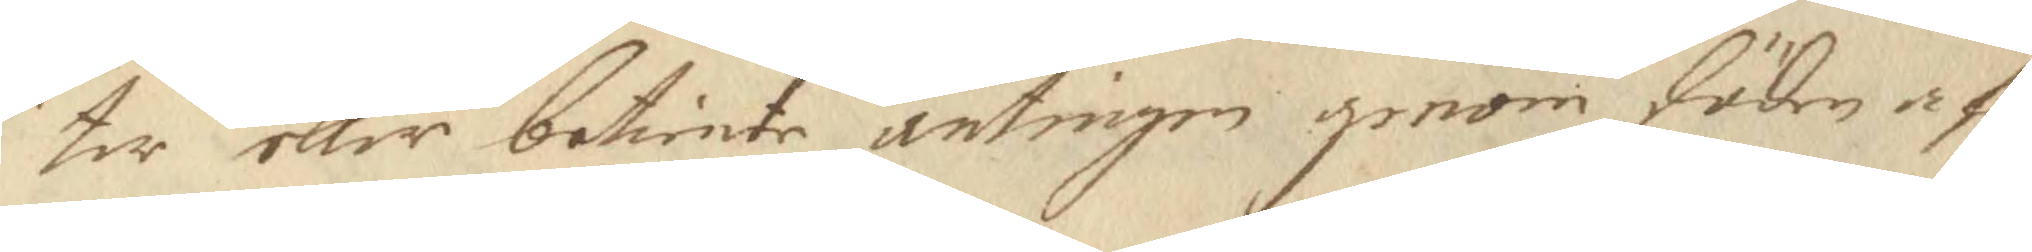ter eller betiente, antingen genom döden af¬
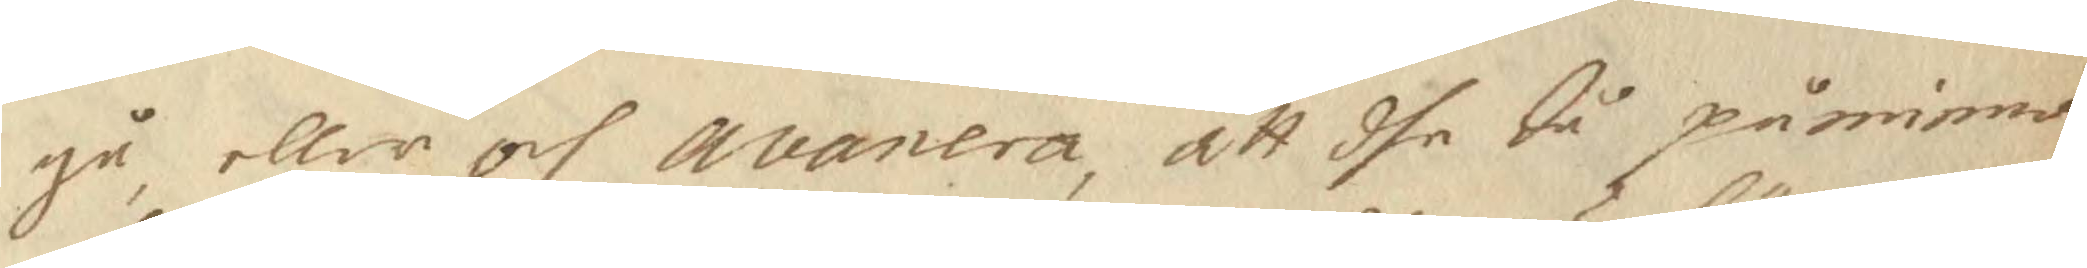gå, eller och avanera, att dhe då påminna
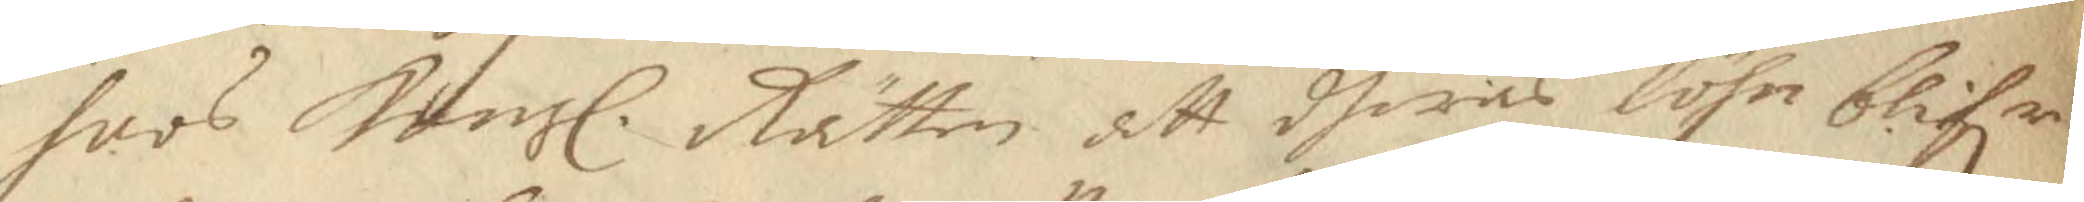hoos Kongl. Rätten att dheras löhn blifr 
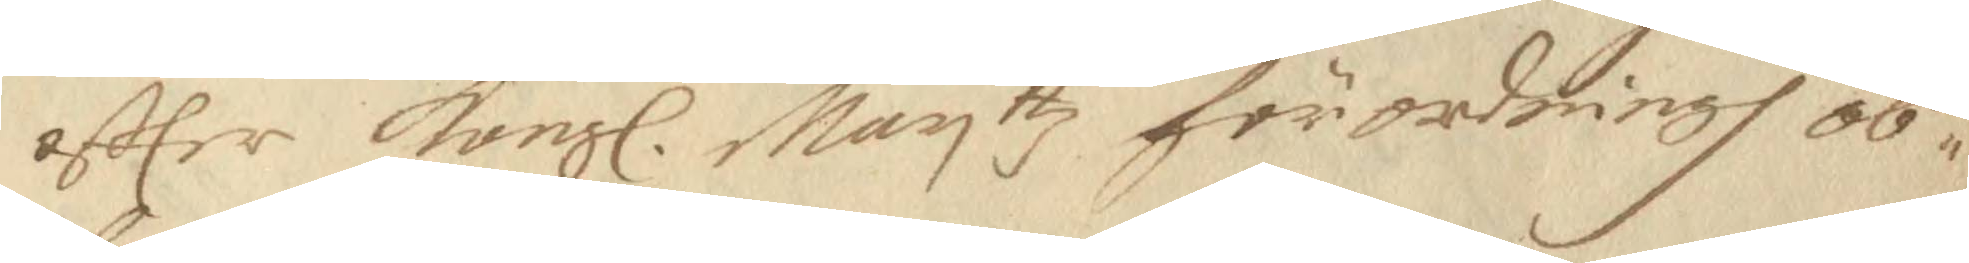effter Kongl. Mayjttz förordningh ob¬ 
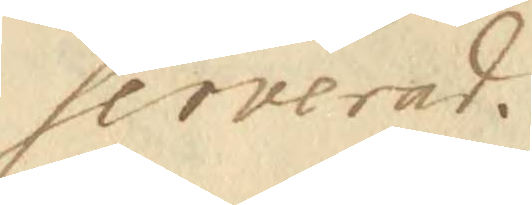serverad. 
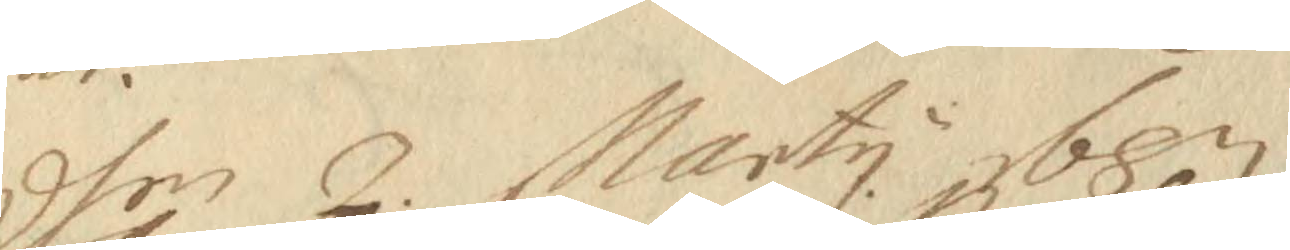dhen 2. Marty 1687
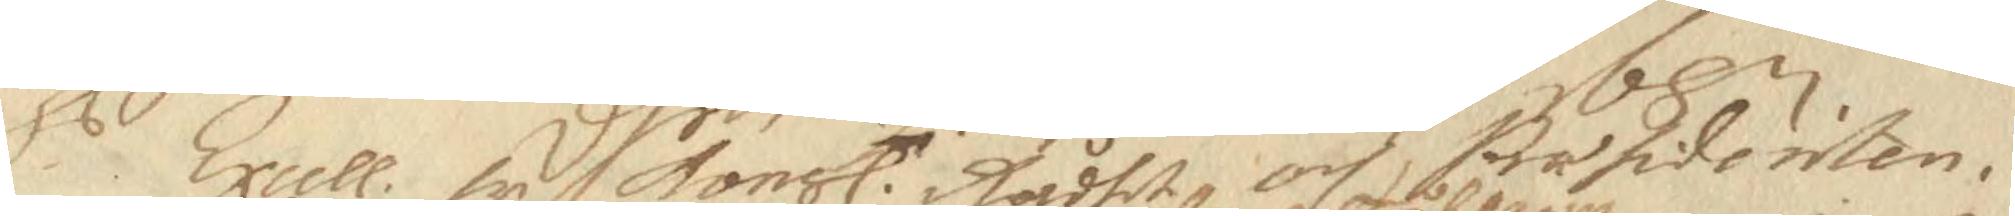Hs Excell. fr Kongl. Rådhet och Præsidenten. 
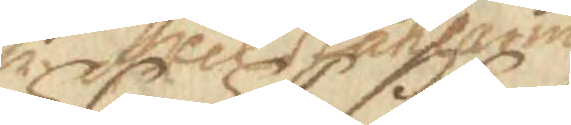hr Axel Ståhlarm
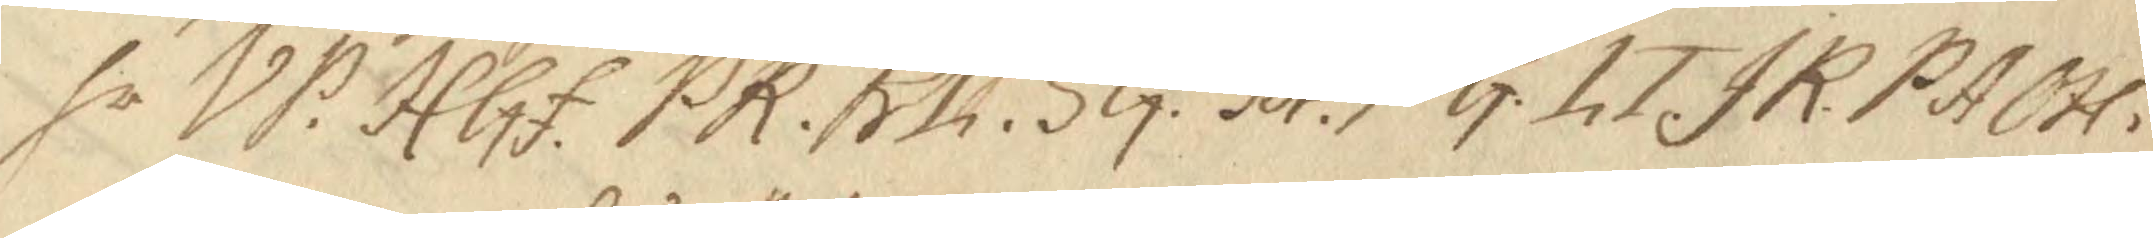hr VP: HGf. PR. Rh. SG. SA. PG. LT. JR. PA. OH. 
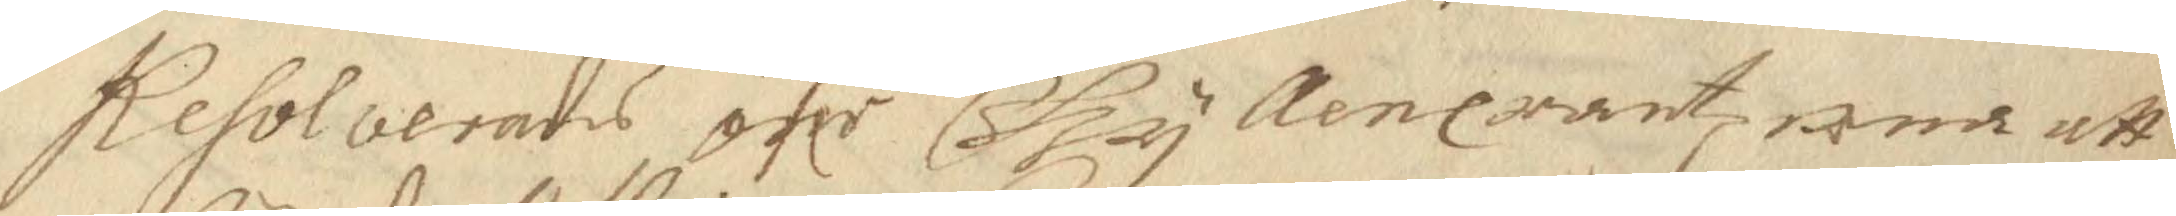Resolverades öflr Gyllencrantz wed att
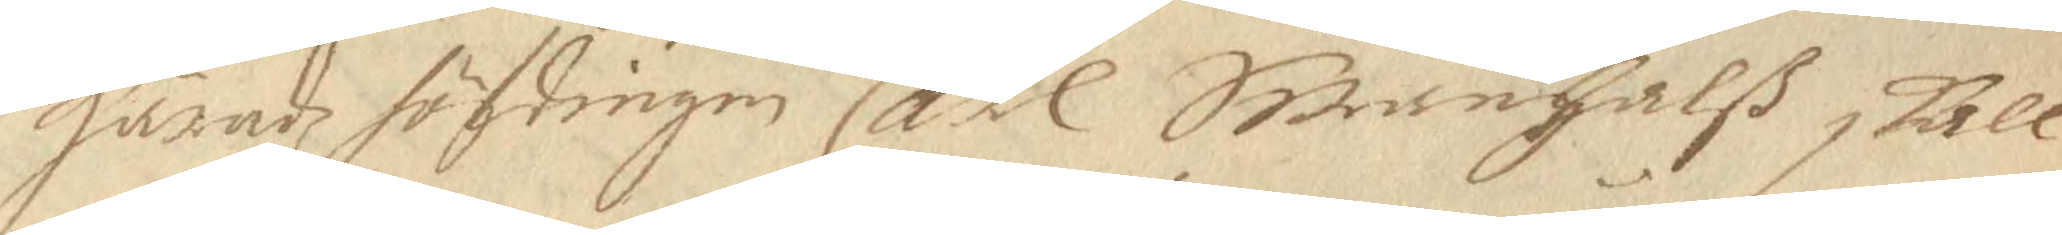Häradz höfdingen Carl Swanhalß skall
